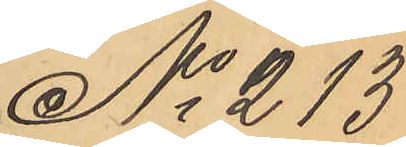No 213
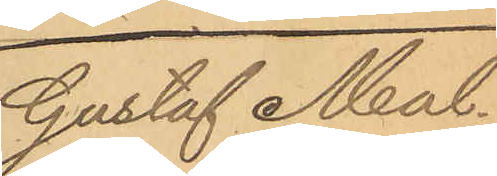Gustaf Mal¬
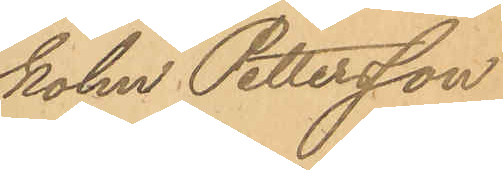kolm Pettersson
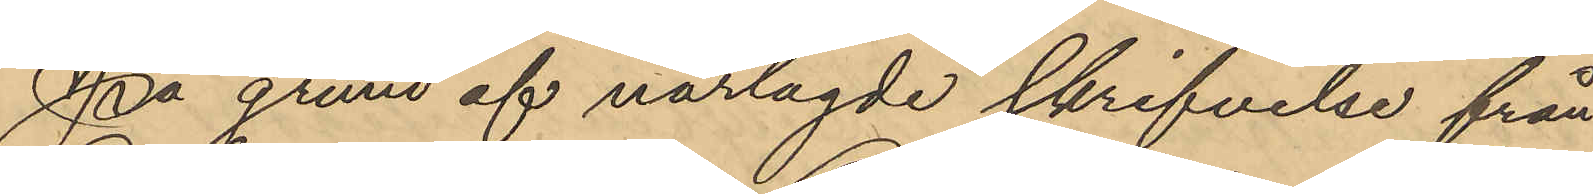På grund af närlagde skrifvelse från
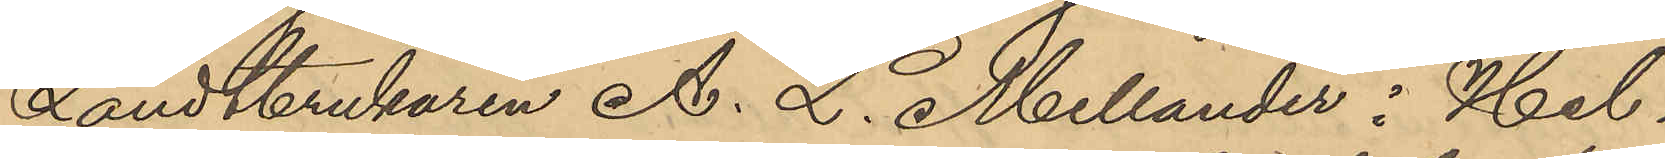Landtbrukaren A. L. Mellander i Hel¬
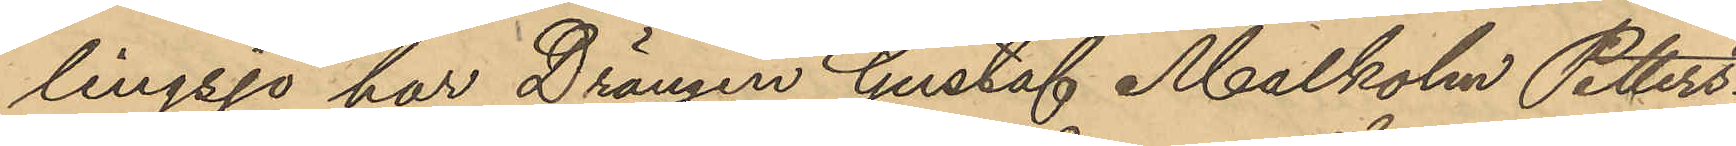lingsjö har Drängen Gustaf Malkolm Petters¬
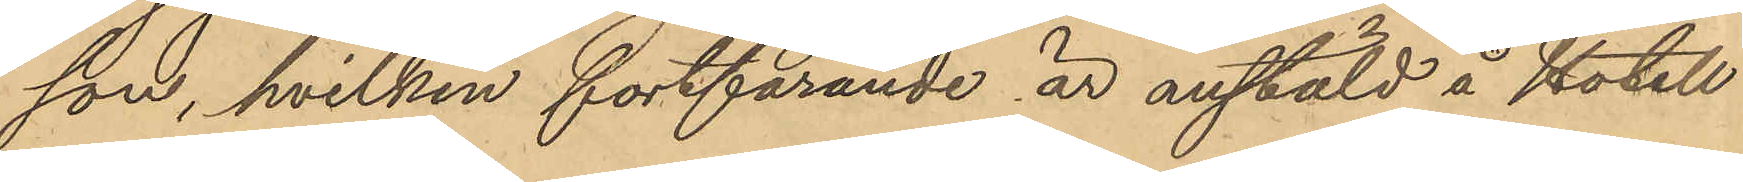son, hvilken fortfarande är anstäld å Hotell
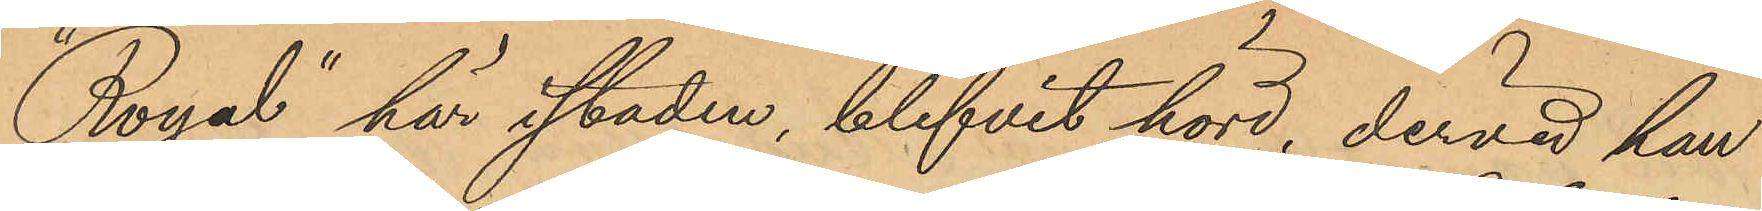Royal" här i staden, blifvit hörd, dervid han
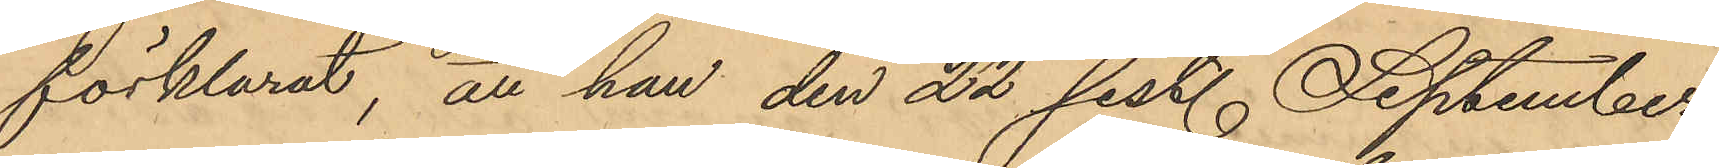förklarat, att han den 22 sist. September
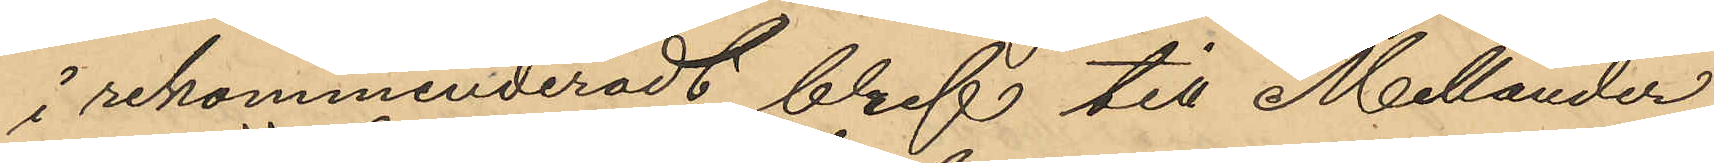i rekommenderadt bref till Mellander
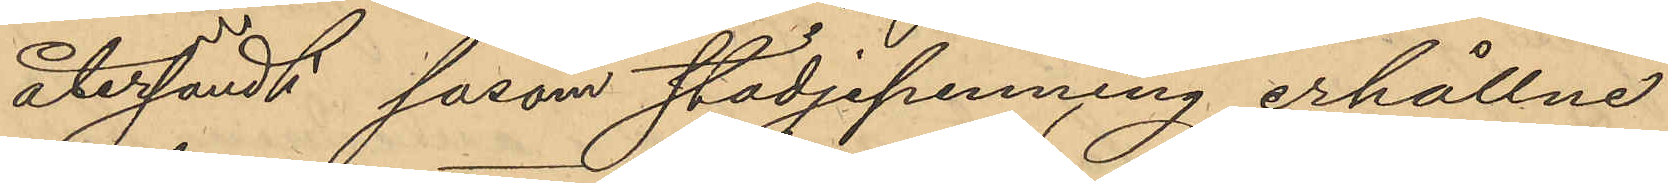återsändt såsom städjepenning erhållne
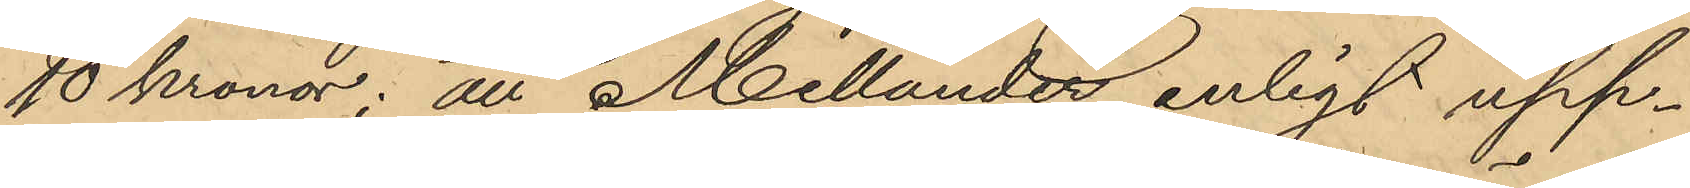10 Kronor; att Mellander enligt upp¬
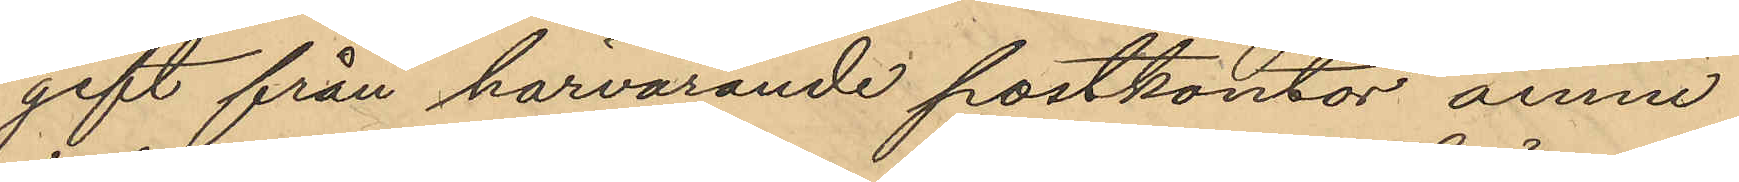gift från härvarande postkontor ännu
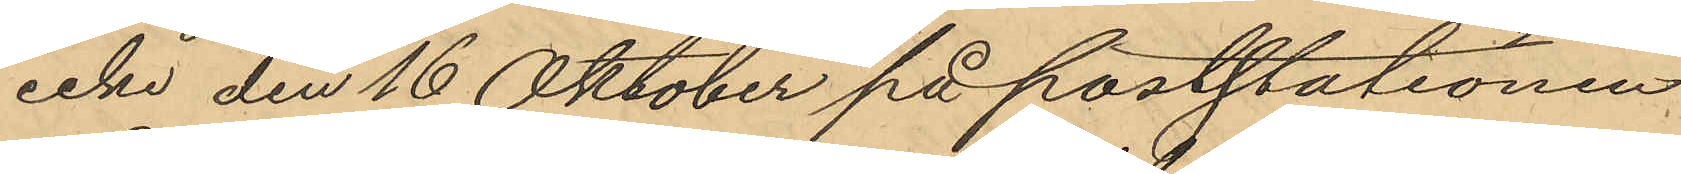icke den 16 Oktober på poststationen
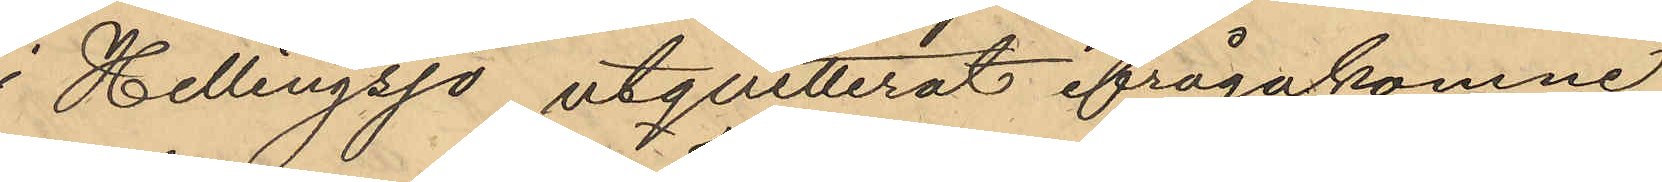i Hellingsjö utquitterat ifrågakomne
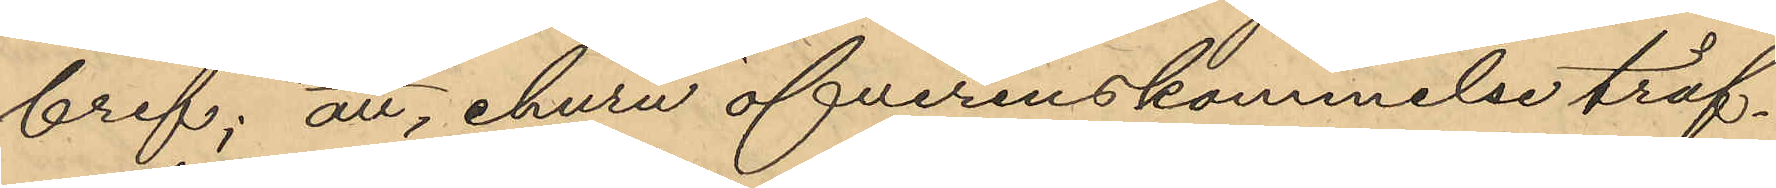bref; att, ehuru öfverenskommelse träf¬
